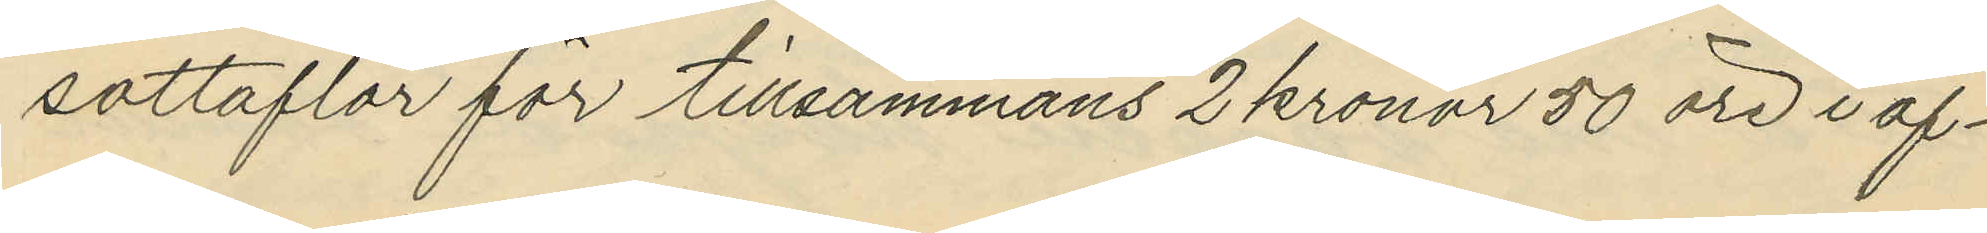sottaflor för tillsammans 2 kronor 50 öre i af¬
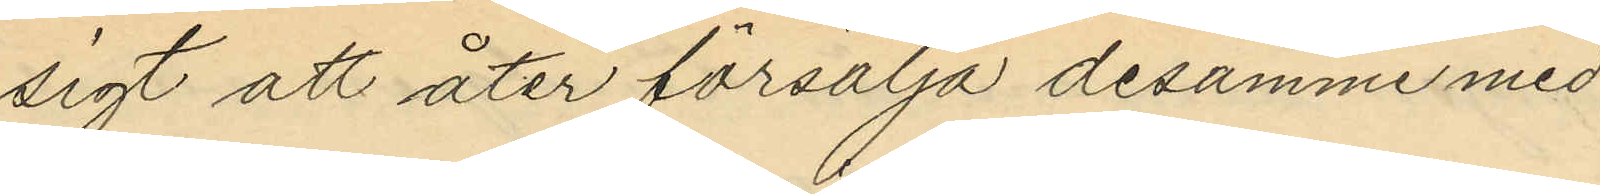sigt att åter försälja desamme med
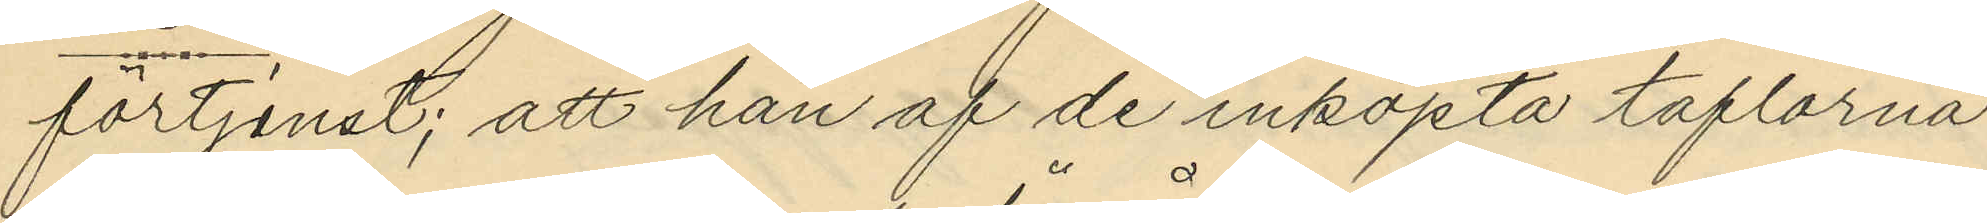förtjenst; att han af de inköpta taflorna
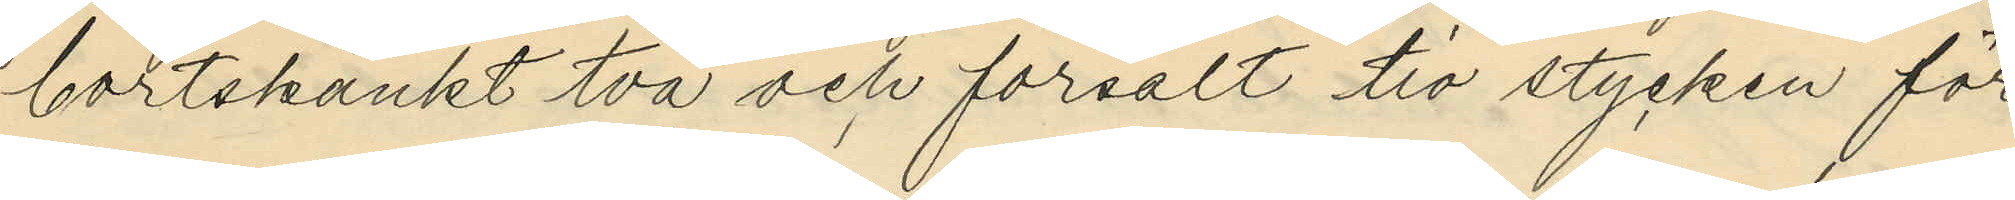bortskänkt två och försålt tio stycken för
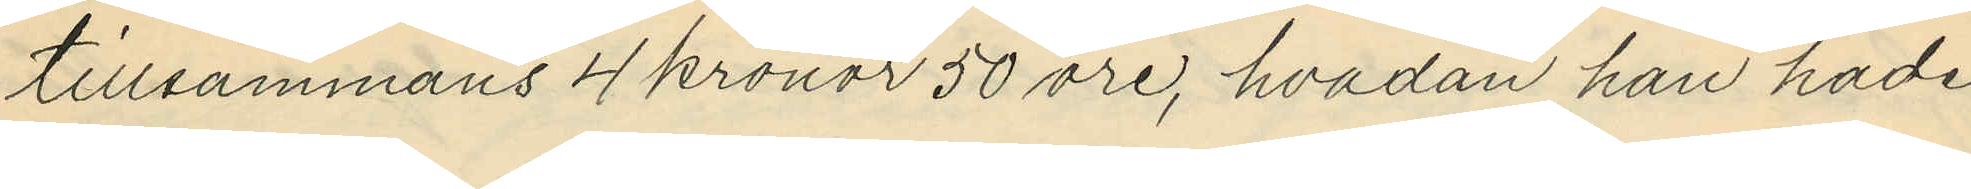tillsammans 4 kronor 50 öre, hvadan han hade
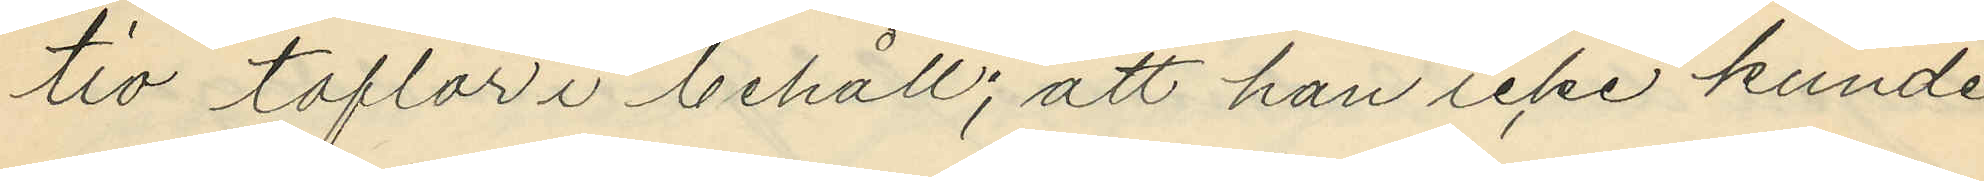tio taflor i behåll; att han icke kunde
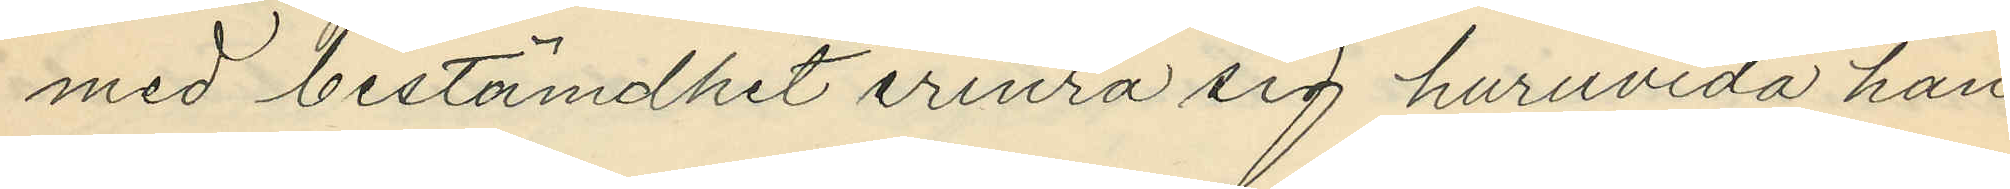med bestämdhet erinra sig huruvida han
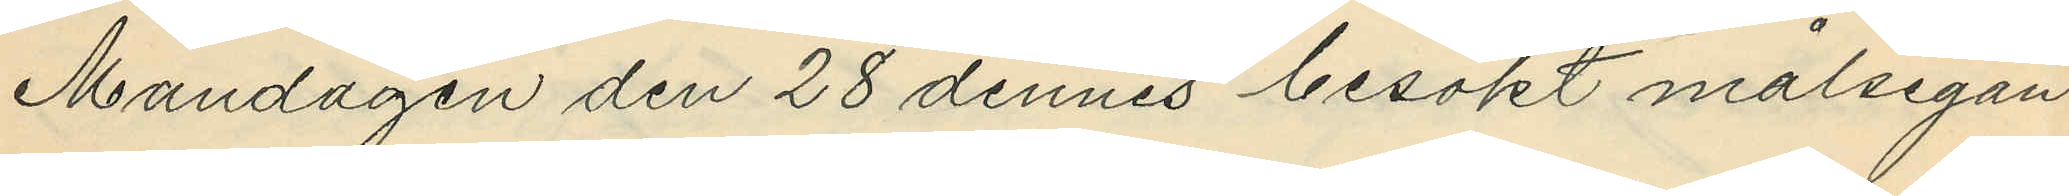Måndagen den 28 dennes besökt målsegan¬
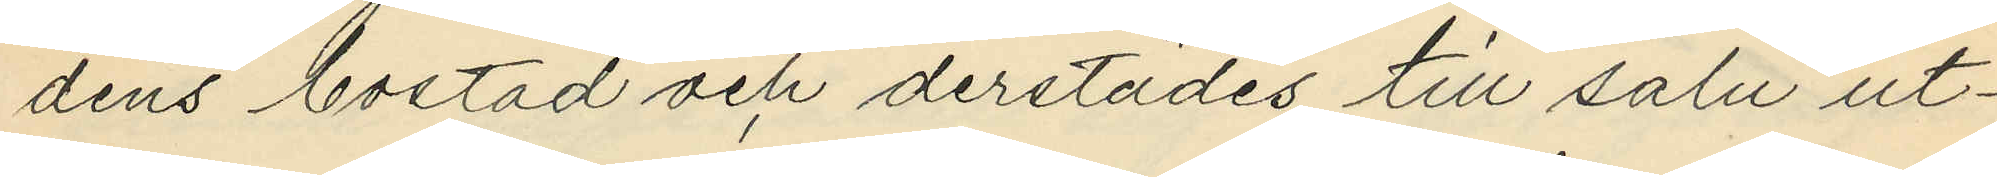dens bostad och derstädes till salu ut¬
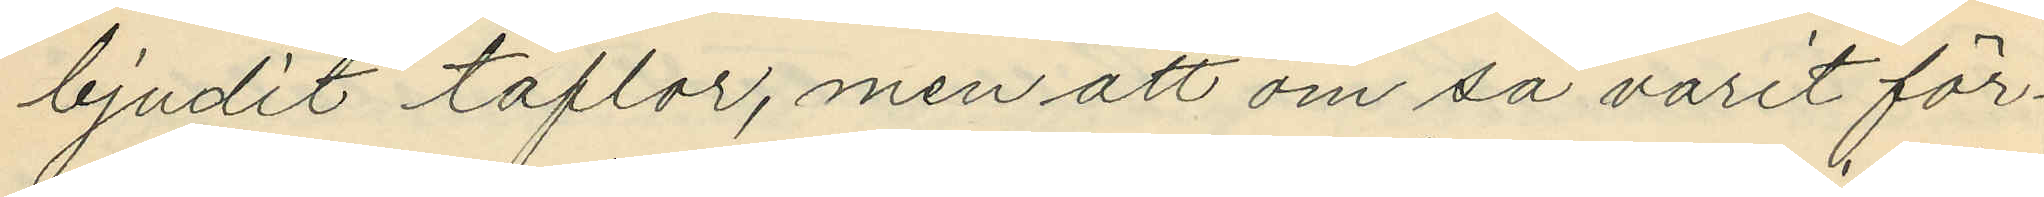bjudit taflor, men att om så varit för¬
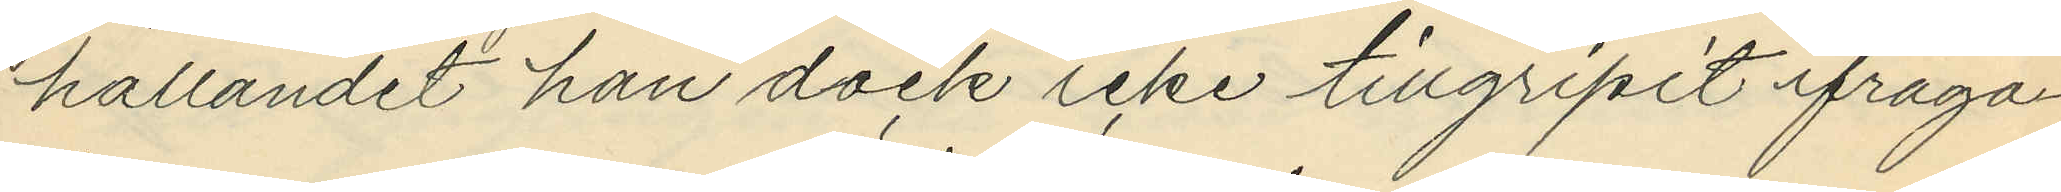hållandet han dock icke tillgripit ifråga¬
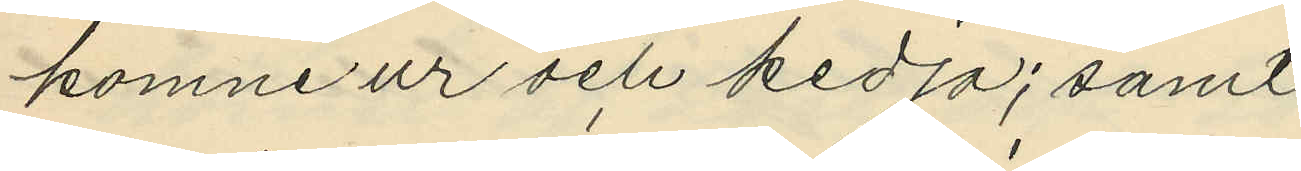komne ur och kedja; samt
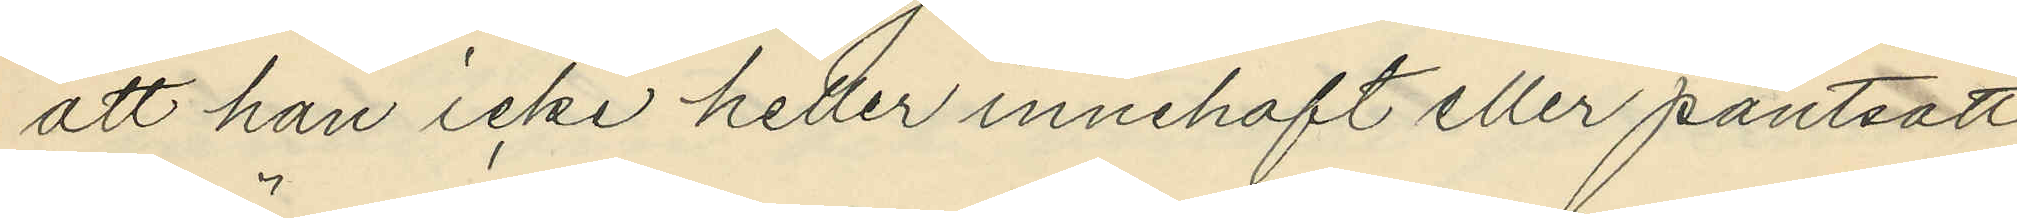att han icke heller innehaft eller pantsatt
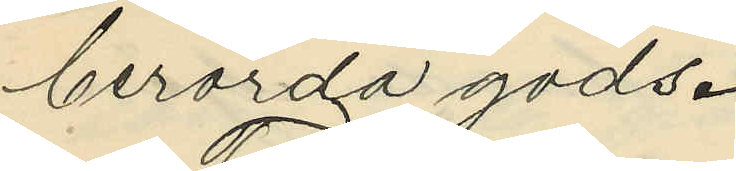berörda gods.
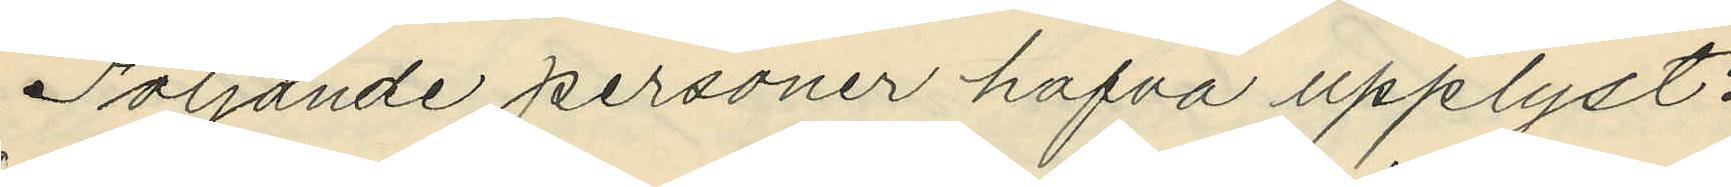Följande personer hafva upplyst:
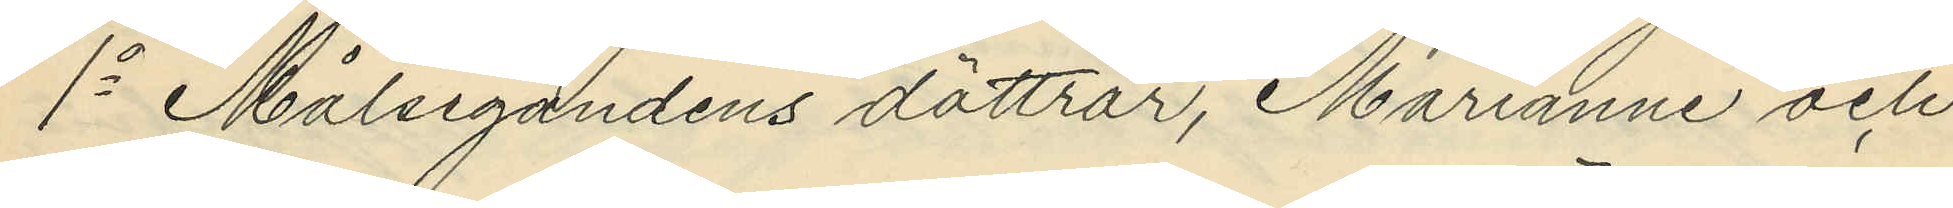1o Målsegandens döttrar, Marianne och
